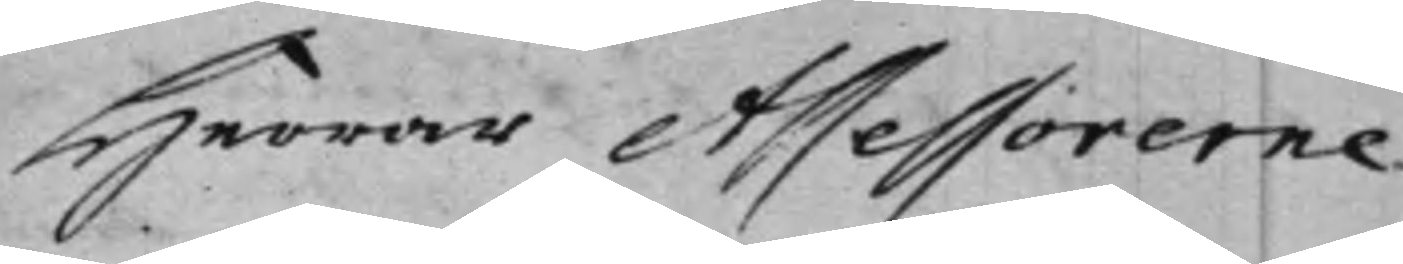Herrar Assessorerne
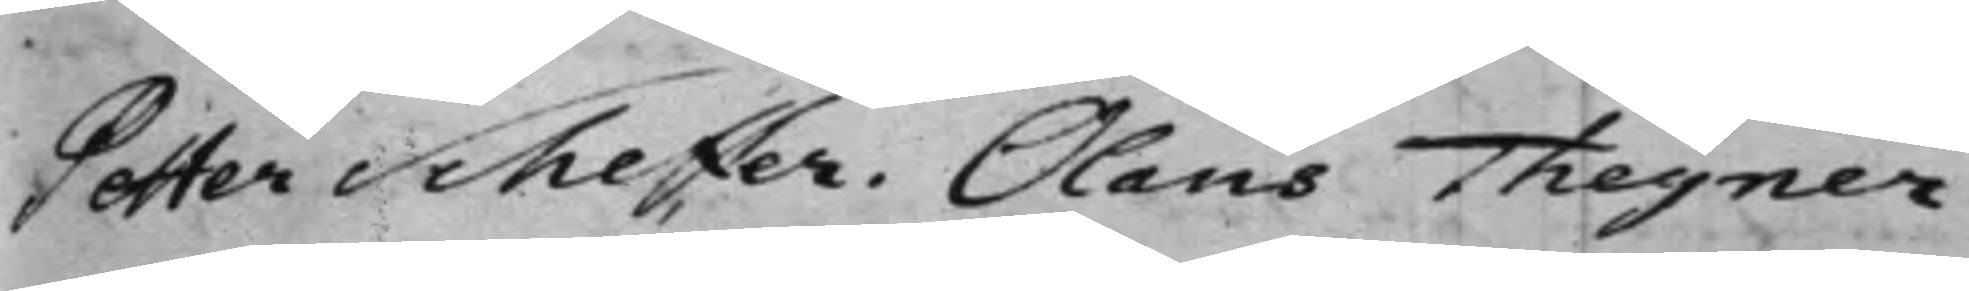Petter Scheffer. Olaus Thegner.
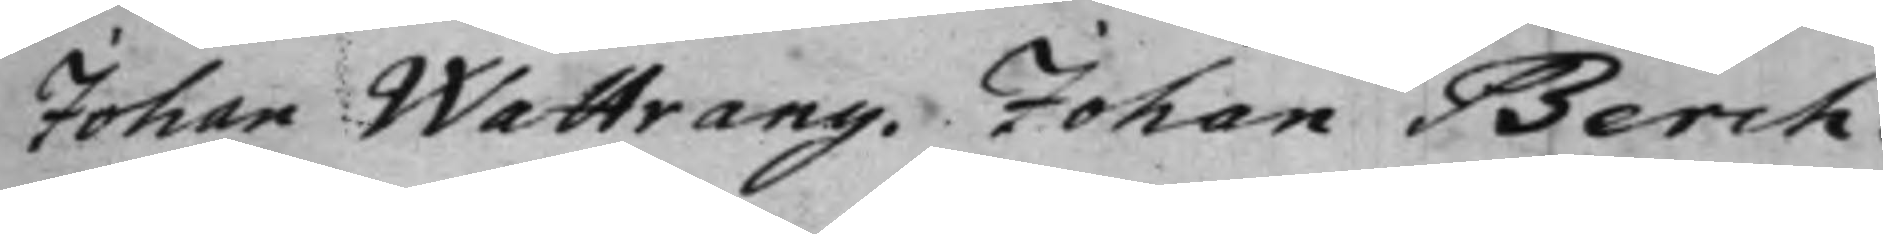Johan Wattrang. Johan Berch.
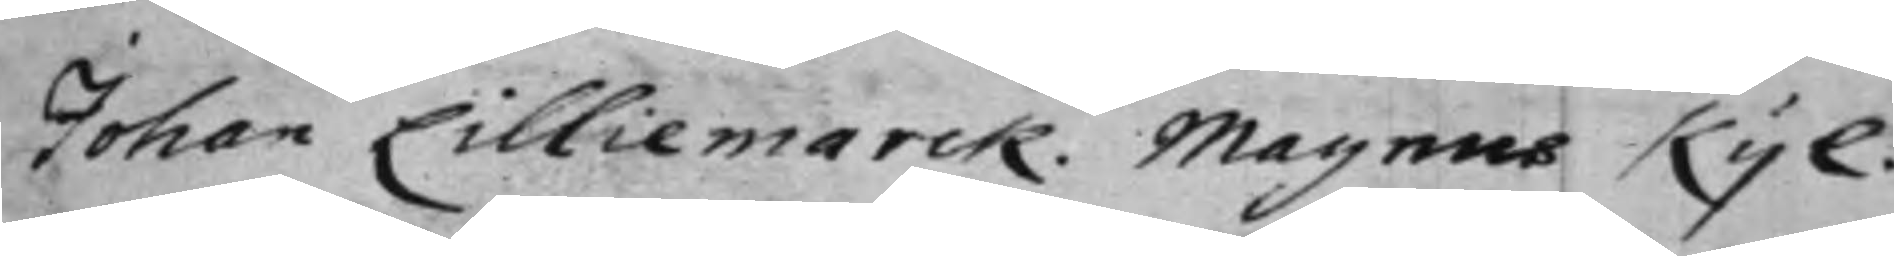Johan Lilliemarck. Magnus Kijl.
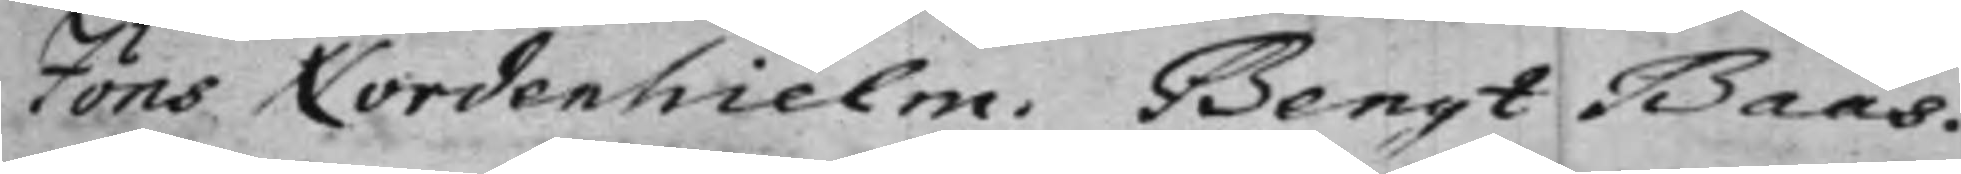Jöns Nordenhielm. Bengt Baas.
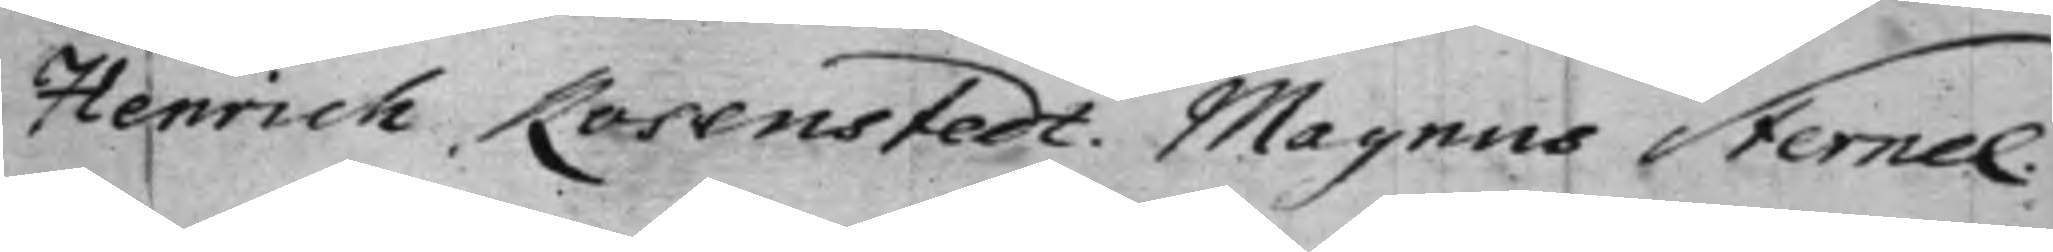Henrich Rosenstedt. Magnus Sternel.
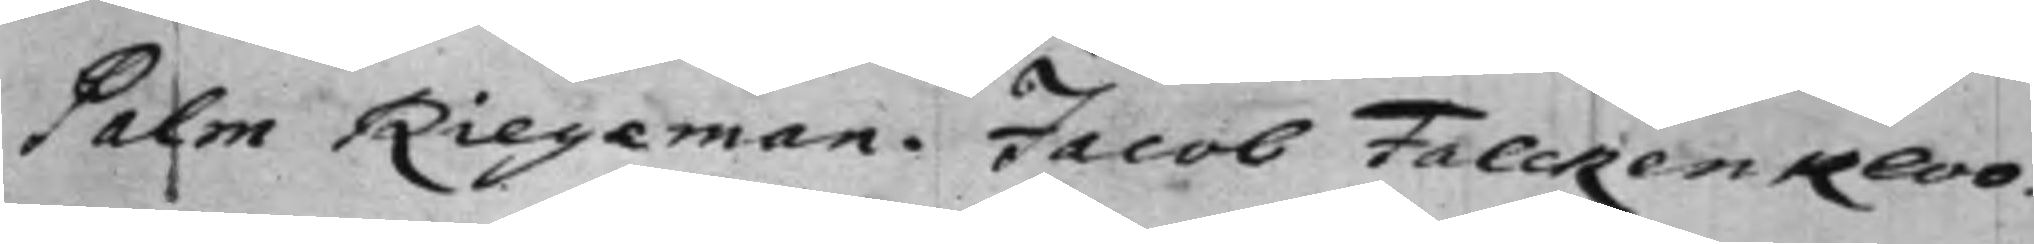Palm Riegeman. Jacob Falckenkloo.
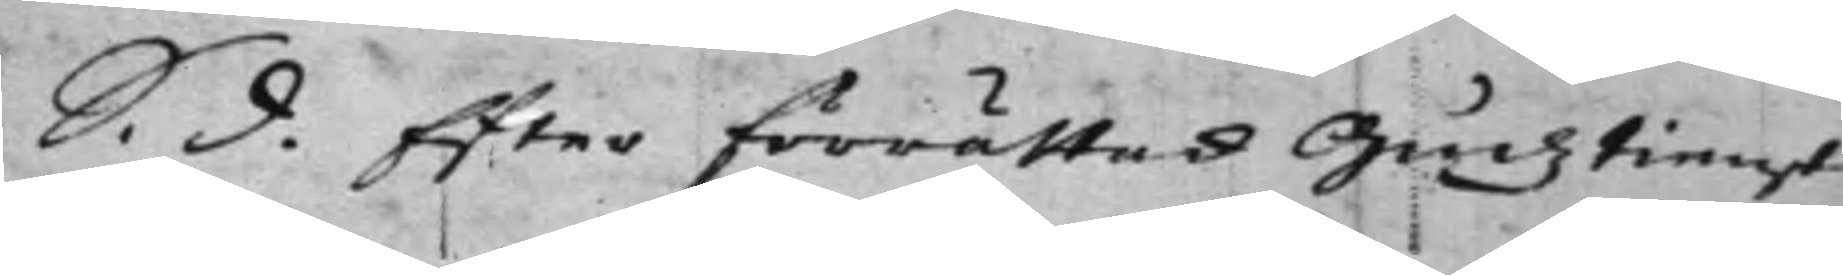S. d. Efter förrättad Gudztienst
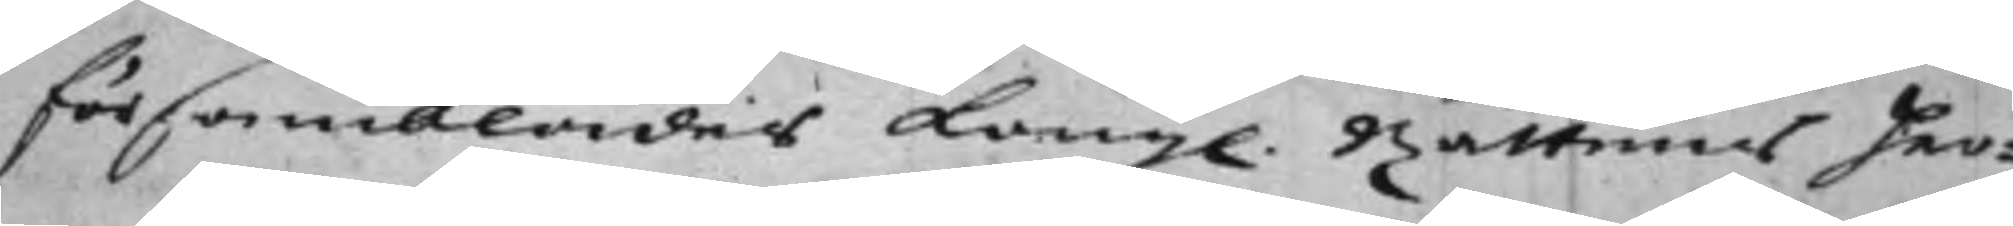församblades Kongl. Rättens her¬
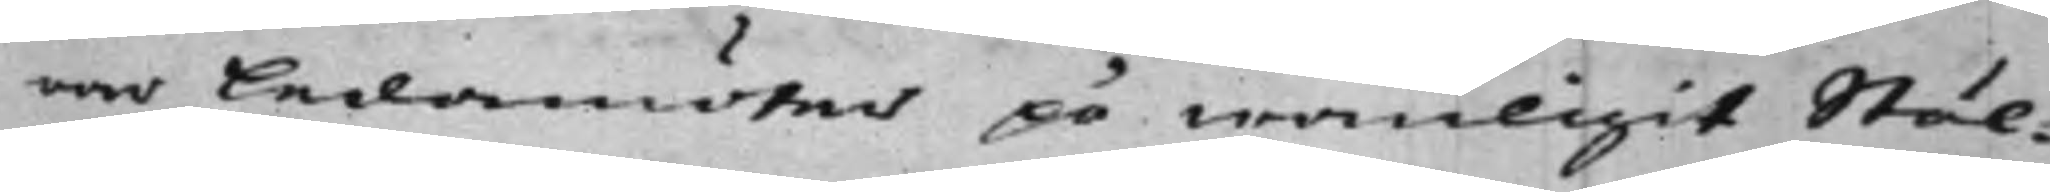rar ledamöter på wanligit Stäl¬
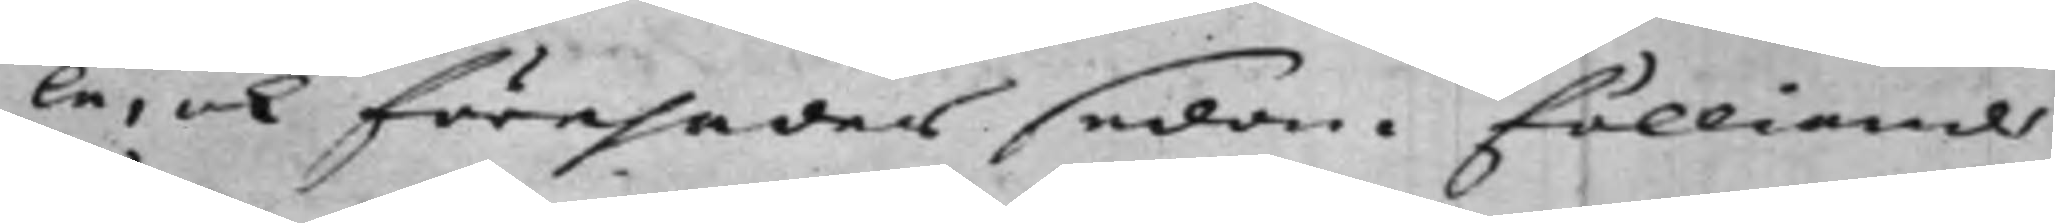le, och förehades sedan fölliande
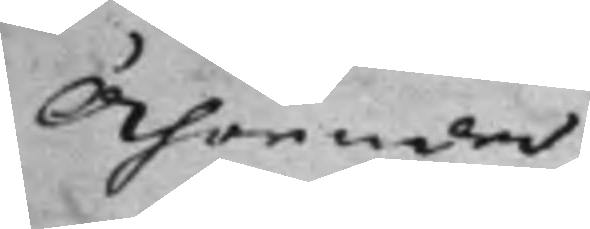Ährender.
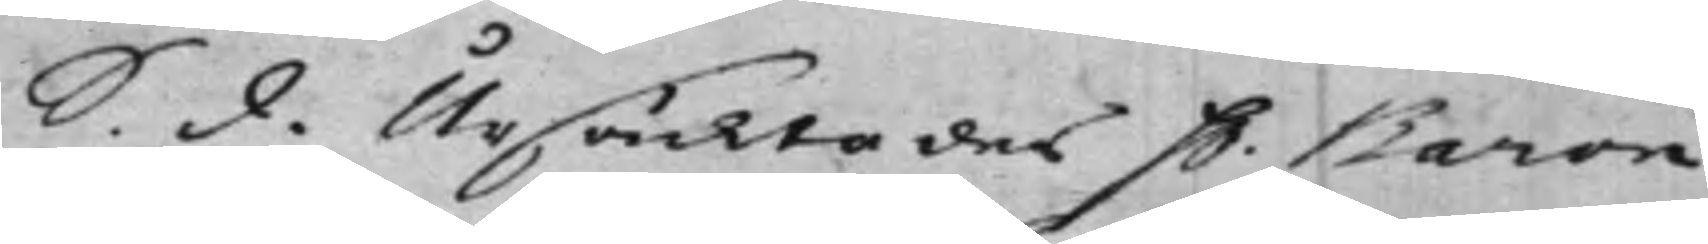S. d. Ursäcktades H. Baron
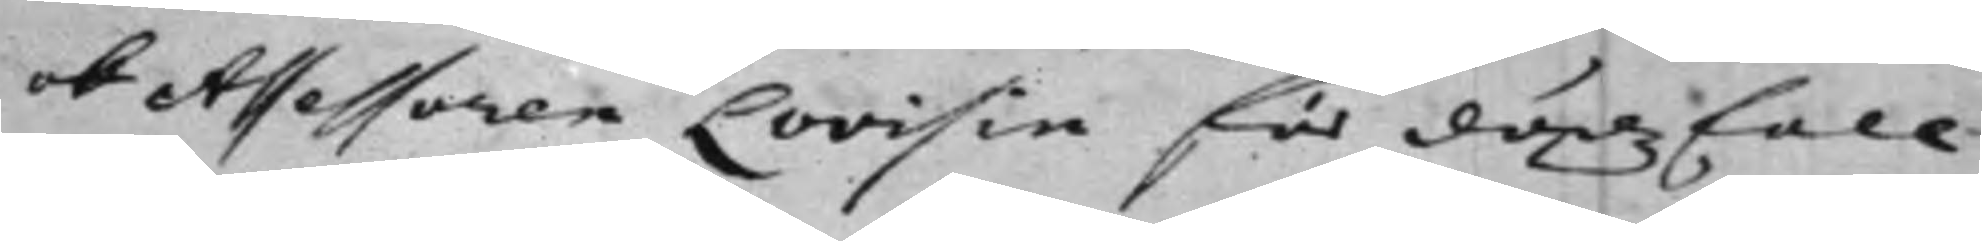och Assessoren Lovisin för dödzfall
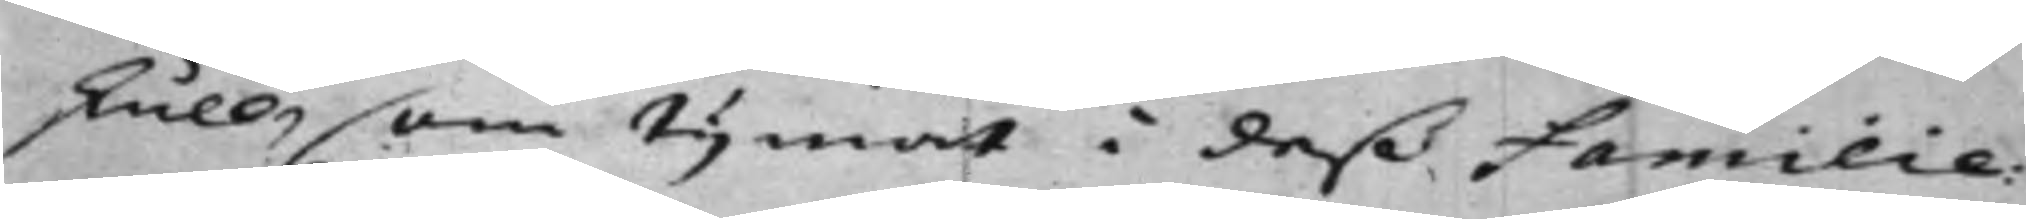skull, som tijmat i deß Familie:
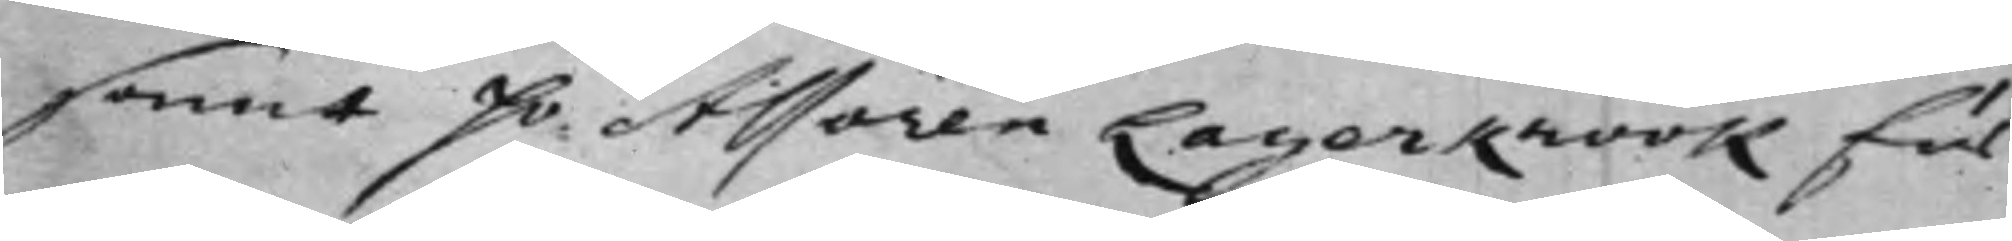samt Hr. Assoren Lagerkrook för
